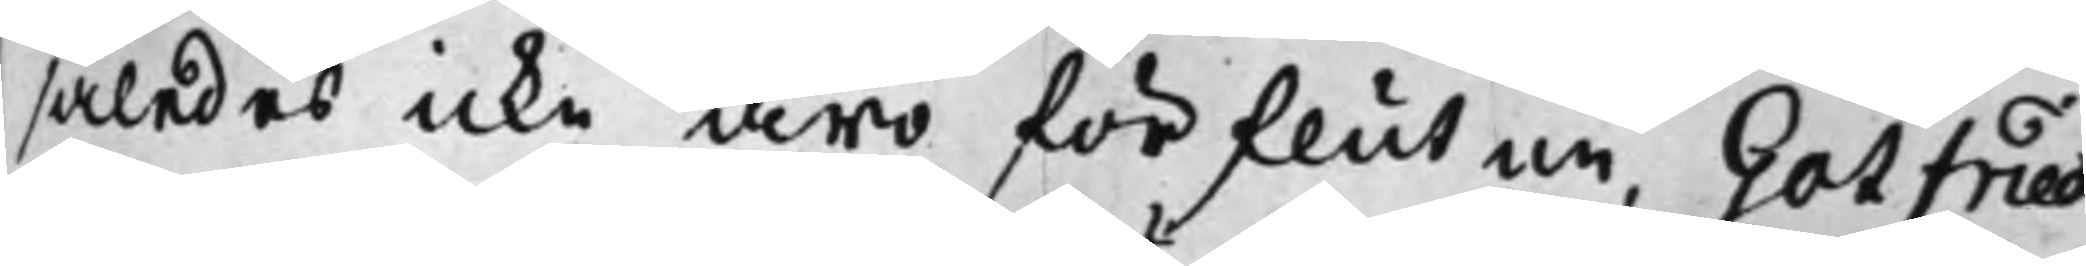således icke äro förflutne, Gotfried
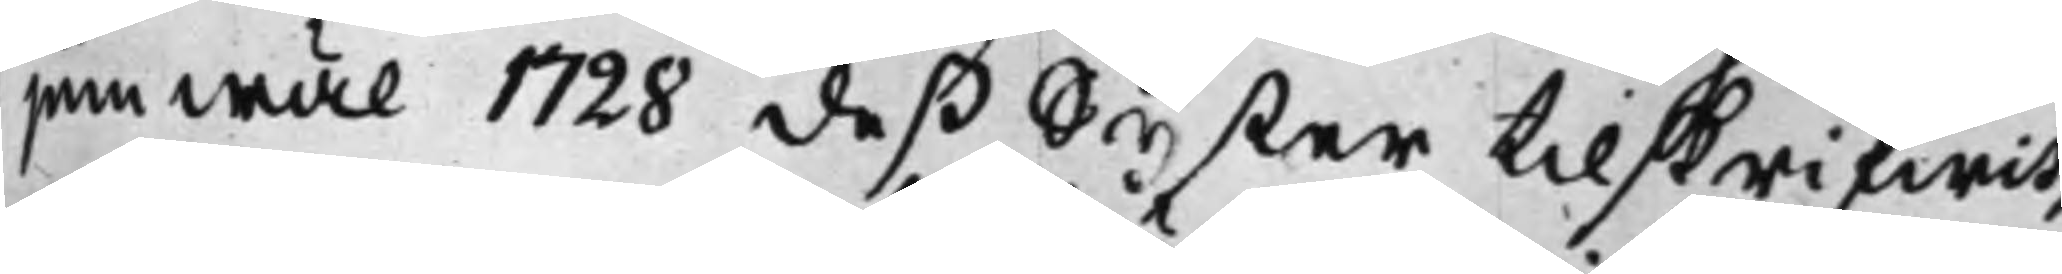jämwäl 1728 deß Syster tillskrifwit,
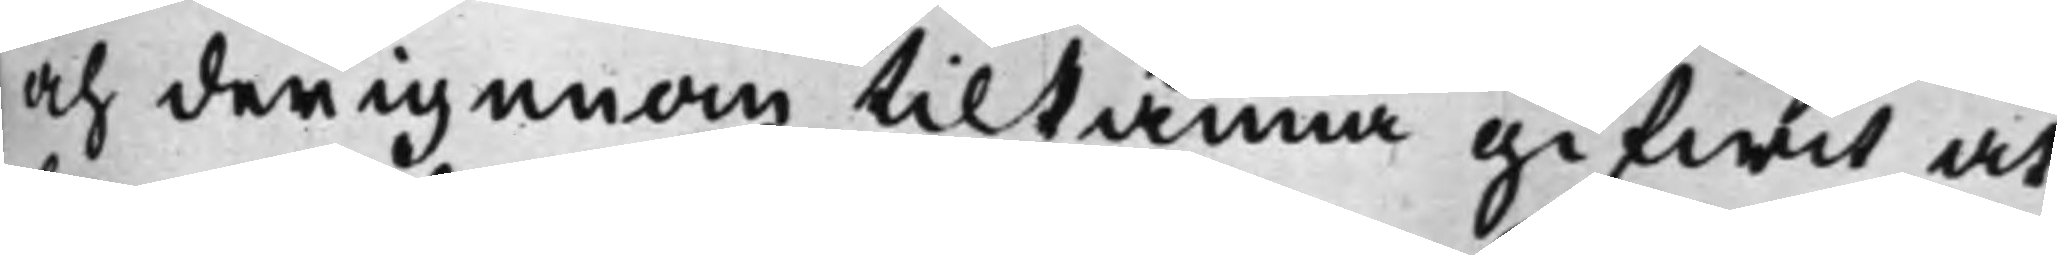och derigenom tilkänna gifwit at
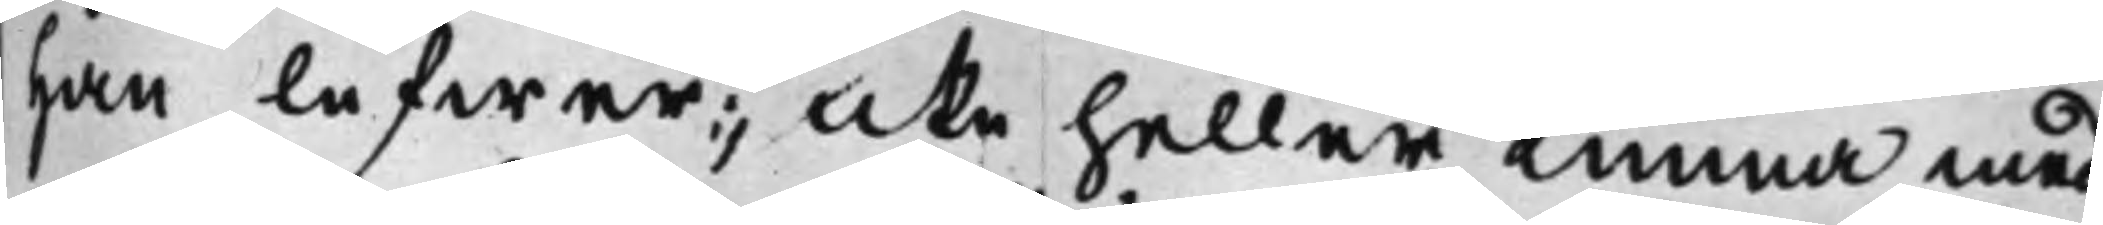han lefwer; icke heller kunna med
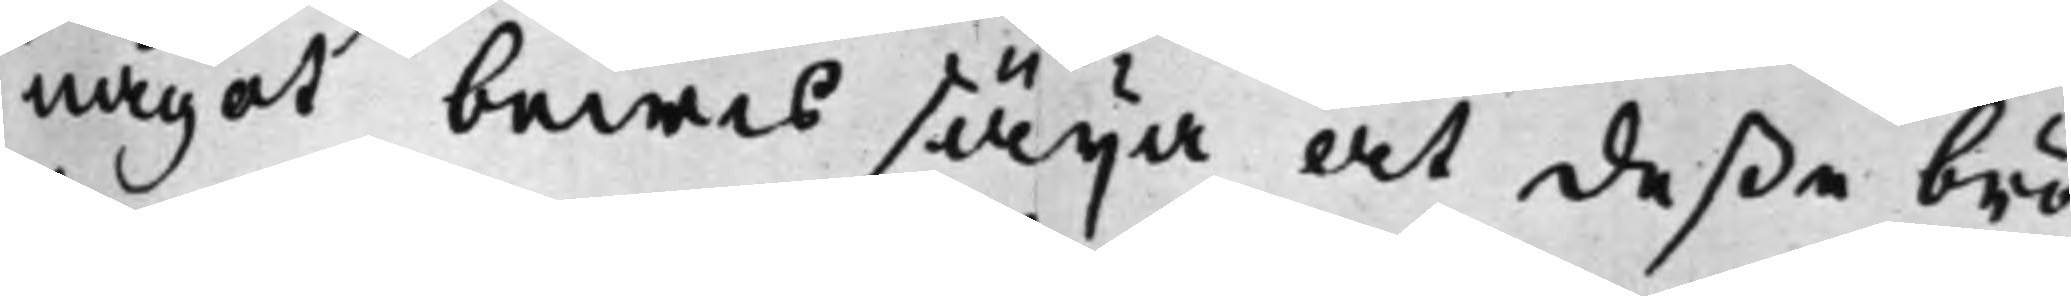något bewis säija at deße brö¬
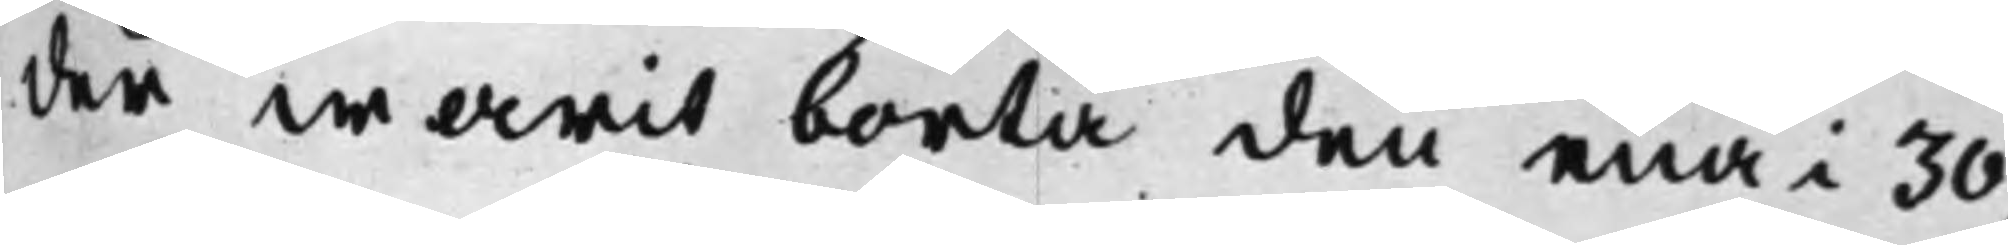der warit borta den ena i 30,
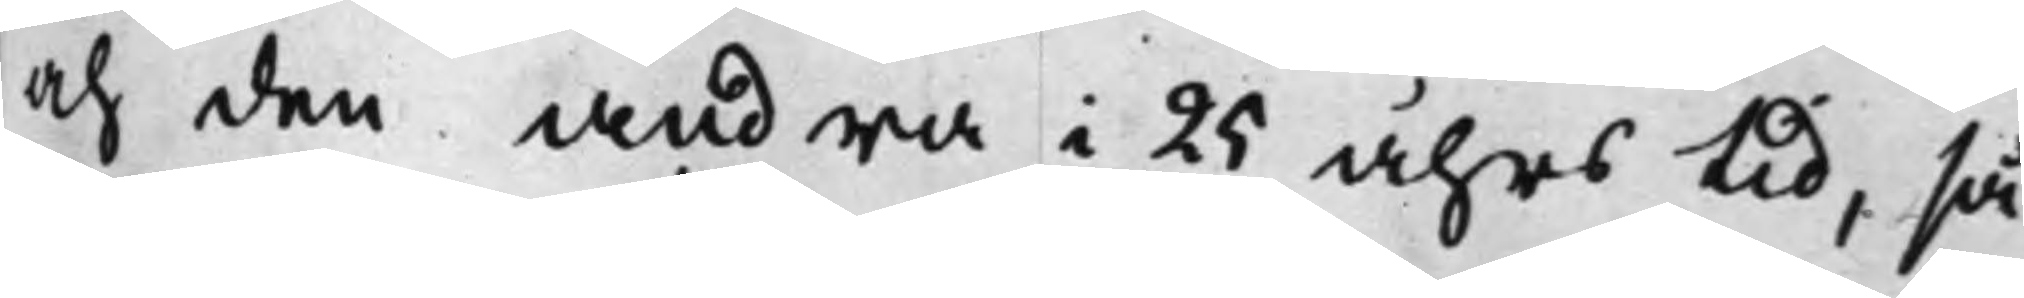och den andra i 25 åhrs tid, så
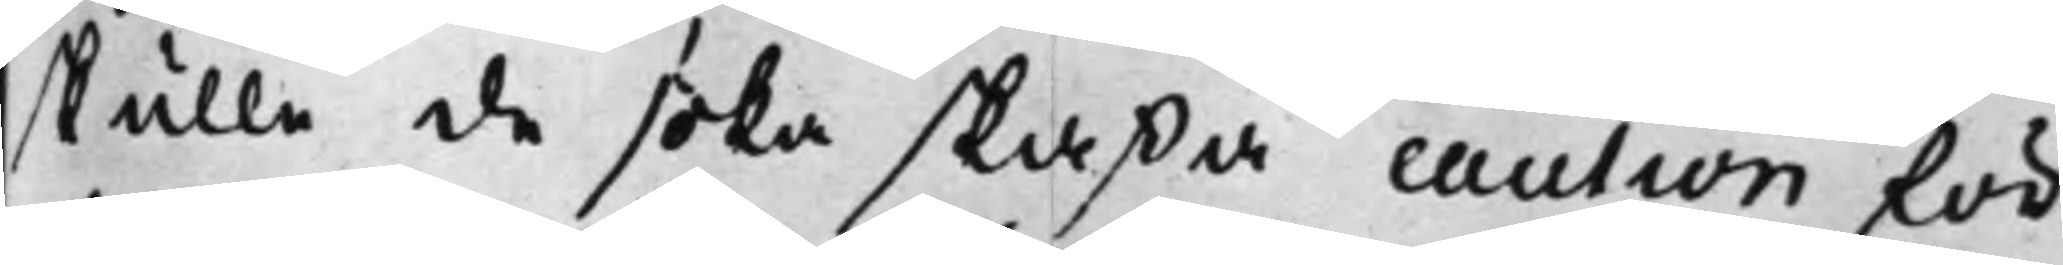skulle de söka skaffa caution för
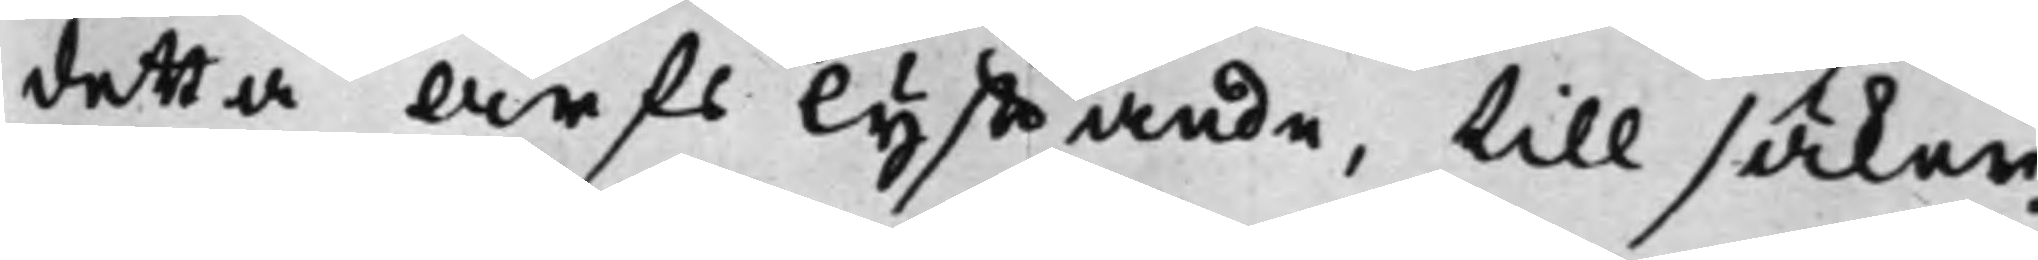detta Arfs lyfftande, till säker¬
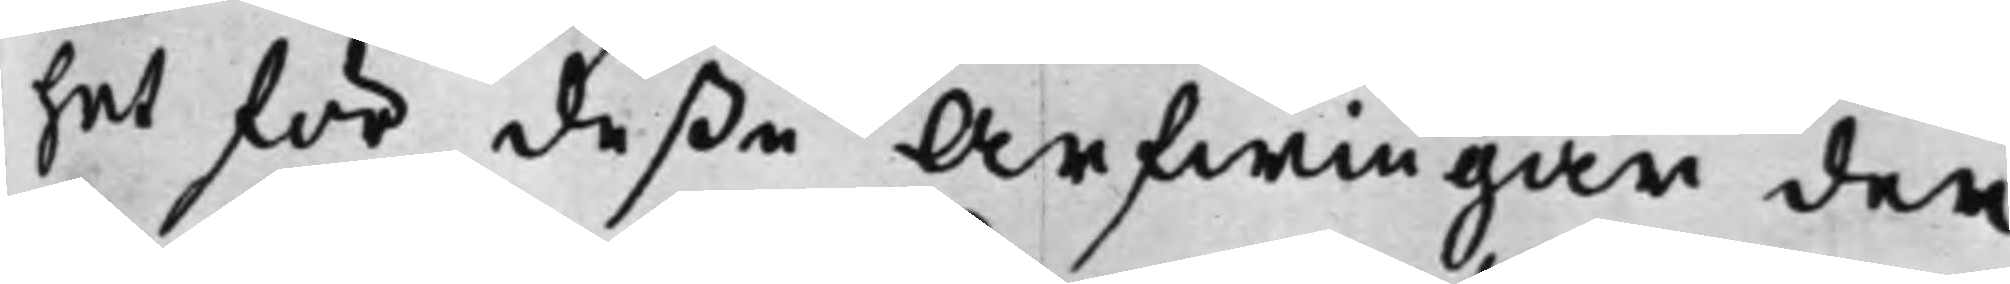het för deße Arfwingar der
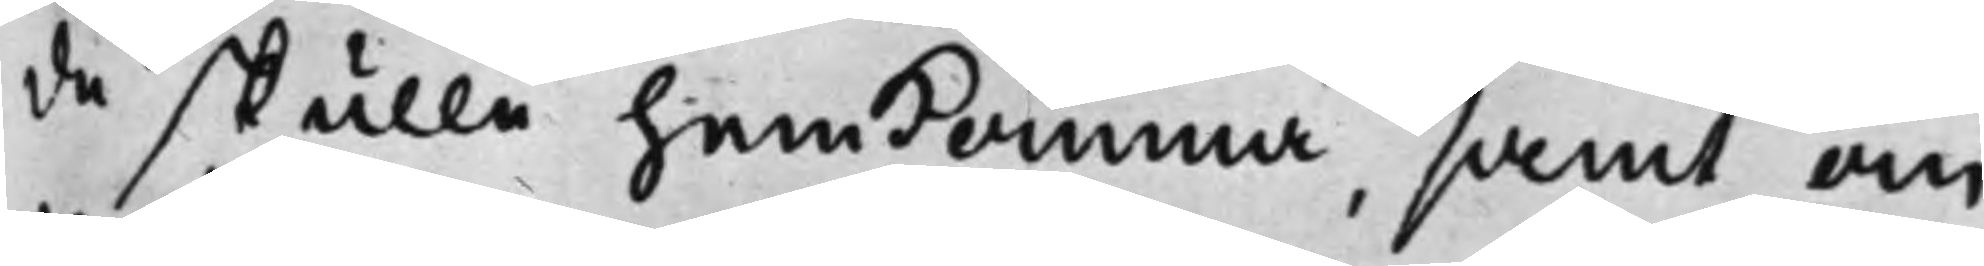då skulle hemkomma, samt om
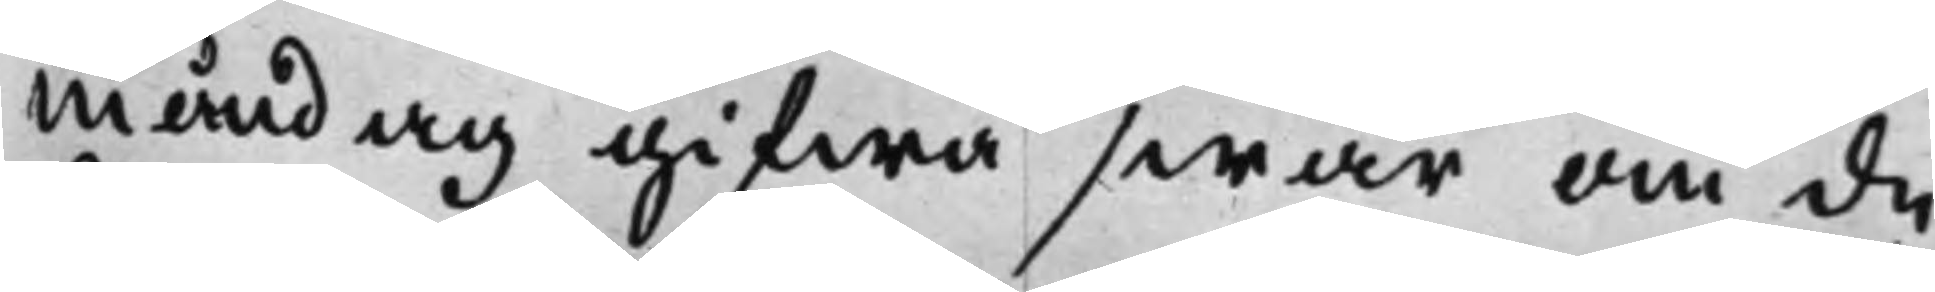äråådag gifwa swar om de
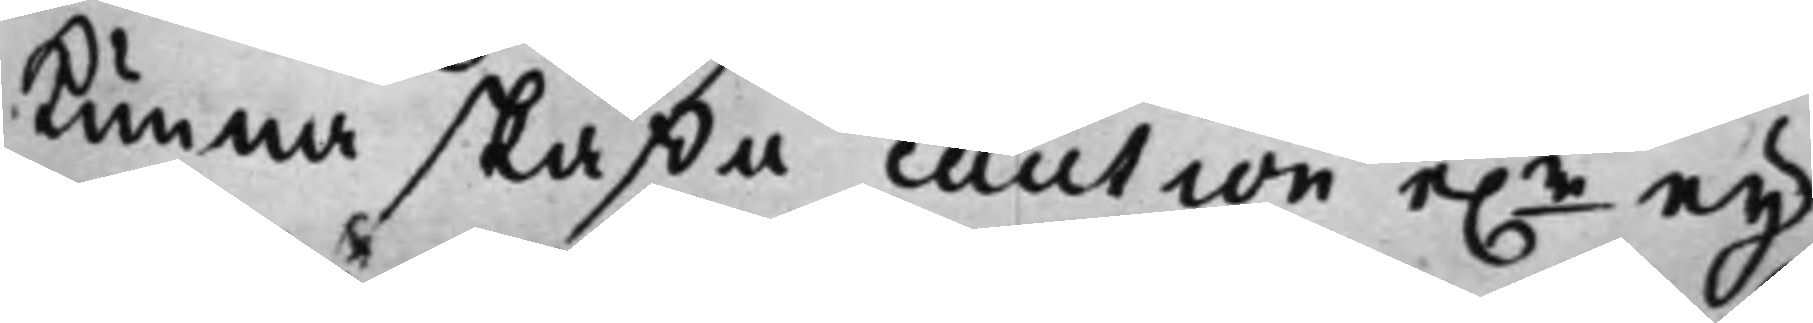Kunna skaffa caution e.r ey;
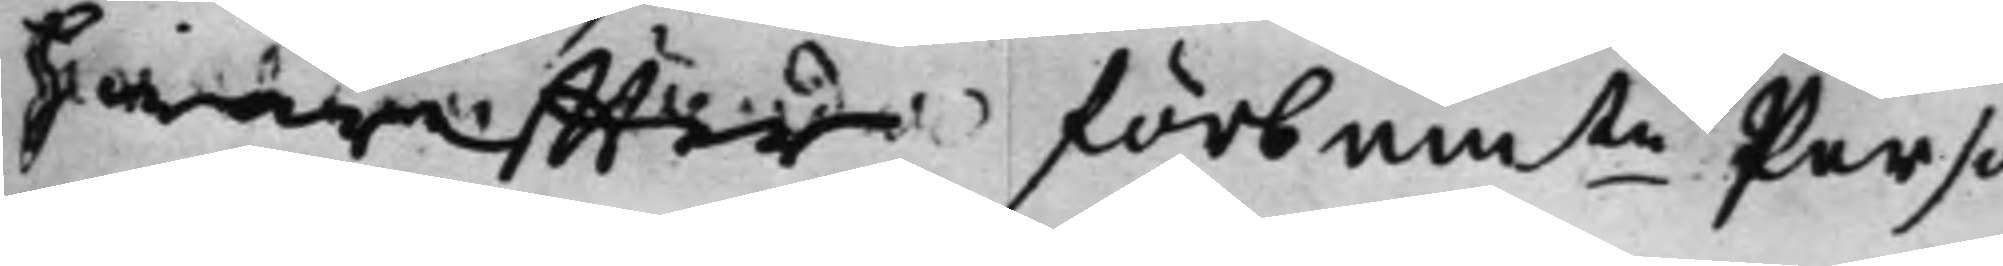hwareffter förbamte Perso¬
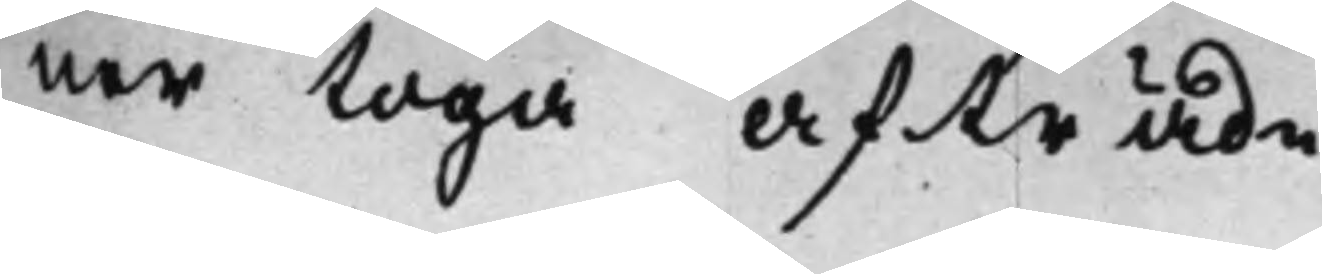ner toga afträde.
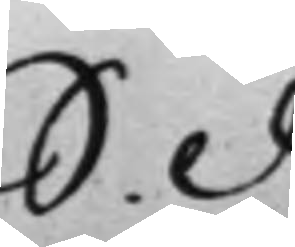S. d.
